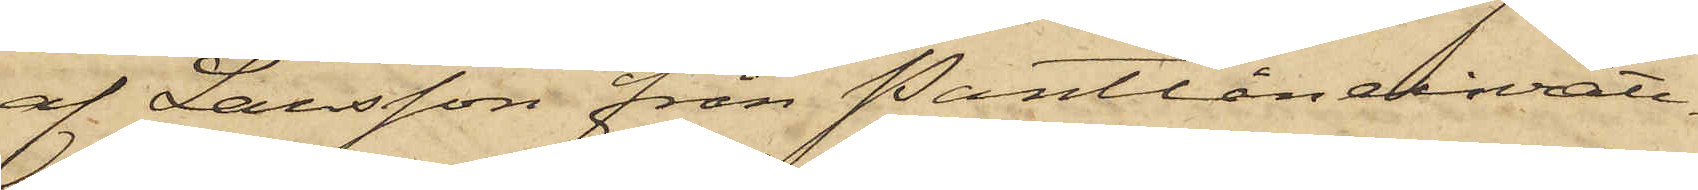af Larsson från Pantlåneinrätt¬
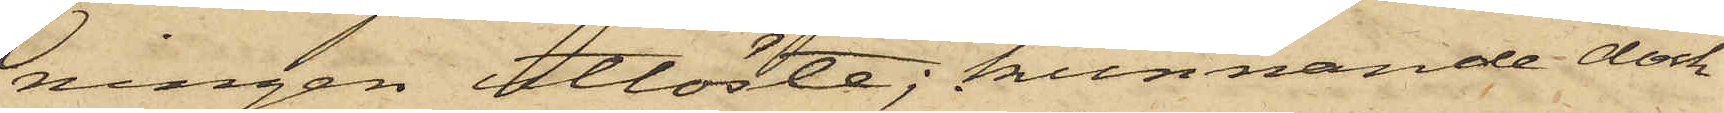ningen utlöste; kunnande dock
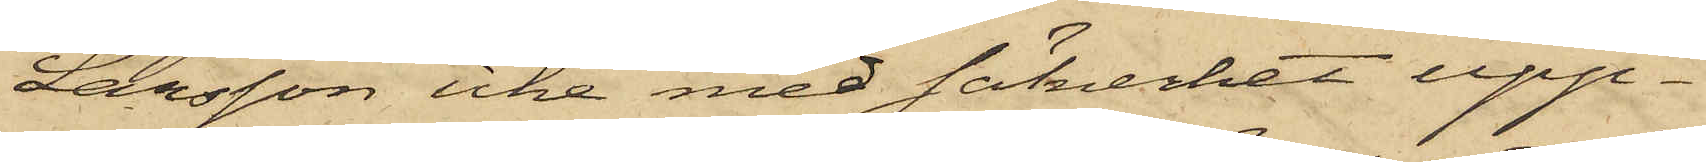Larsson icke med säkerhet upp¬
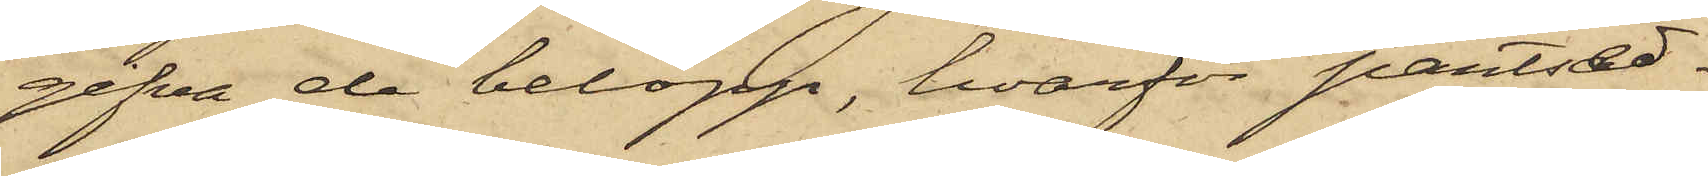gifva de belopp, hvarför pantsed¬
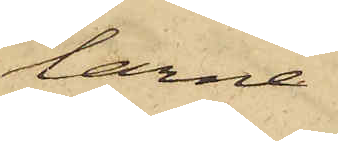larne
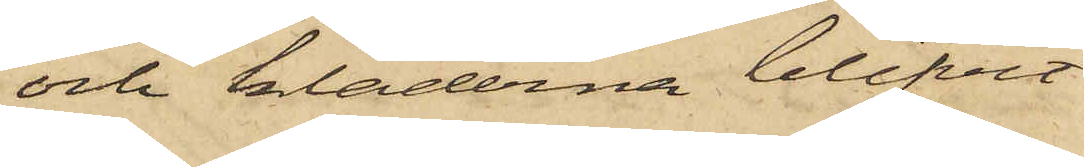och kläderna blifvit
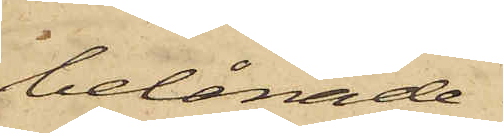belånade.
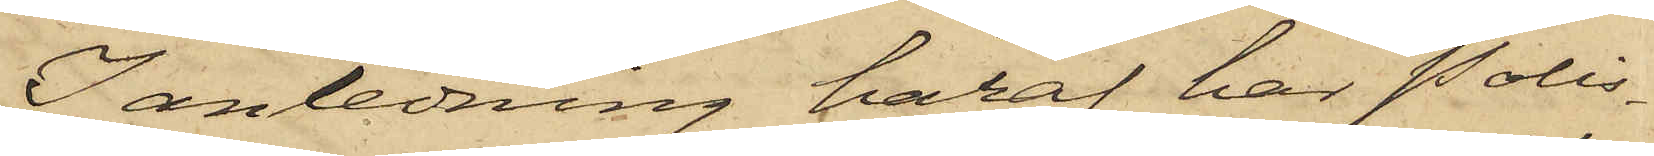I anledning häraf har Polis¬
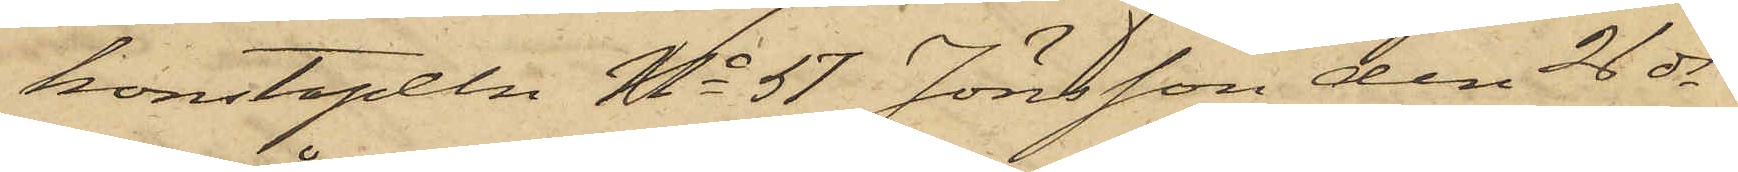konstapeln No 57 Jönsson den 26 ds
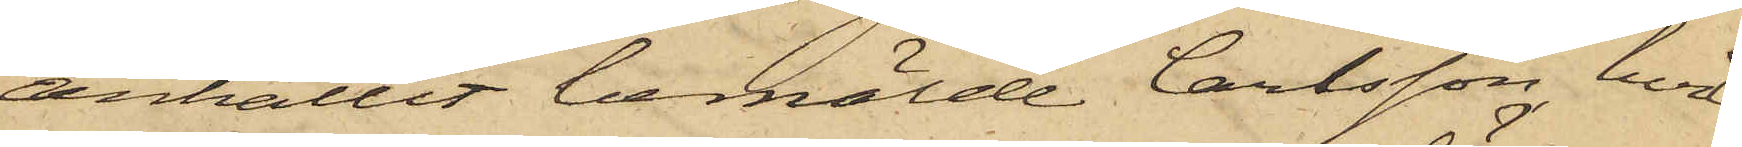anhållit bemälde Carlsson, hvil¬
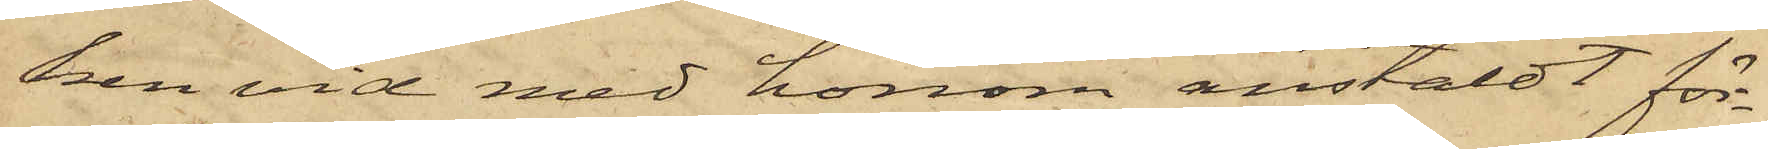ken vid med honom anstäldt för¬
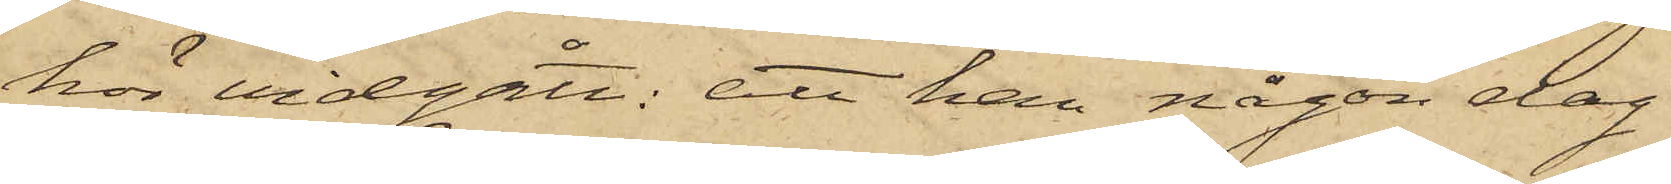hör vidgått: att han någon dag
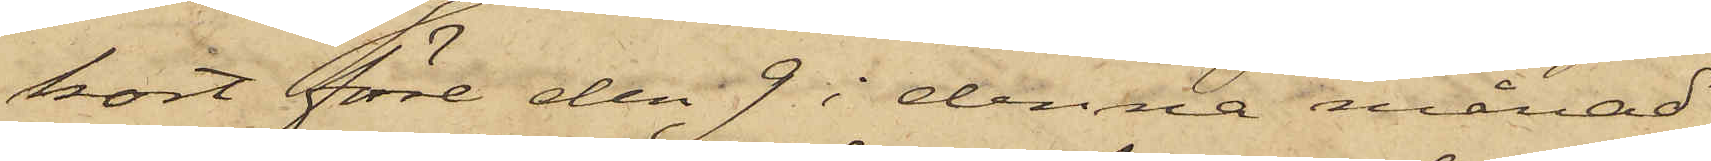kort före den 9 i denna månad
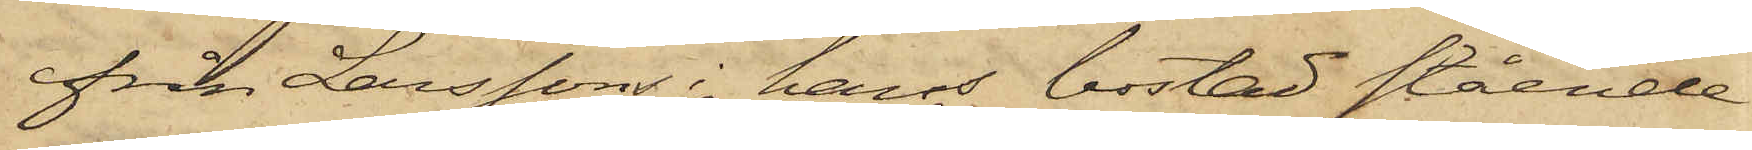från Larsson i hans bostad stående
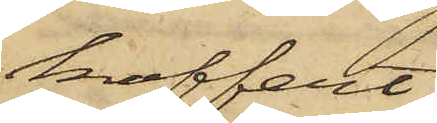koffert
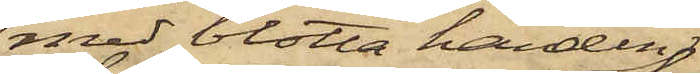med blotta handen
